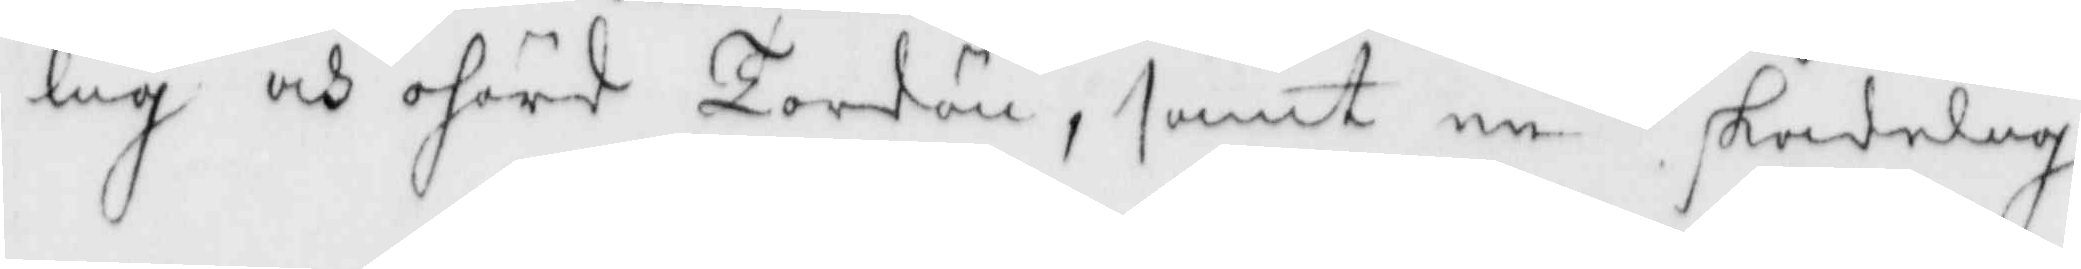lig och ohörd Tordön, samt en skadelig
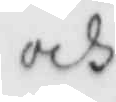och
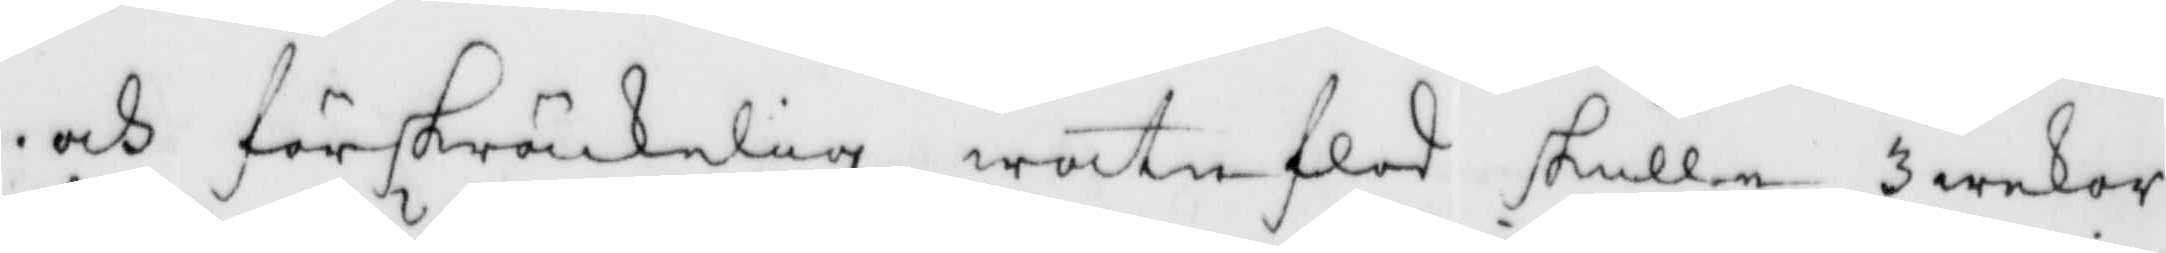och förskräckelig watn flod skulle 3 wekor
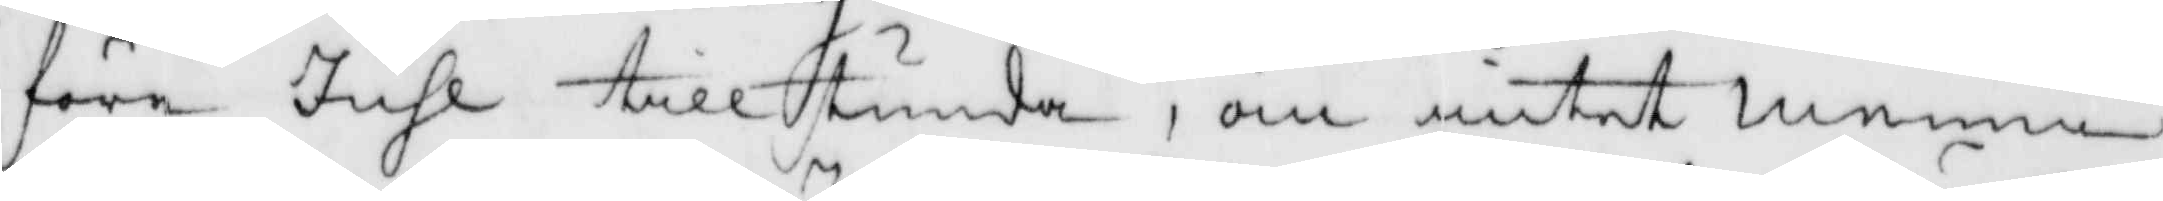före Juhl tillstunda, om intet menni¬
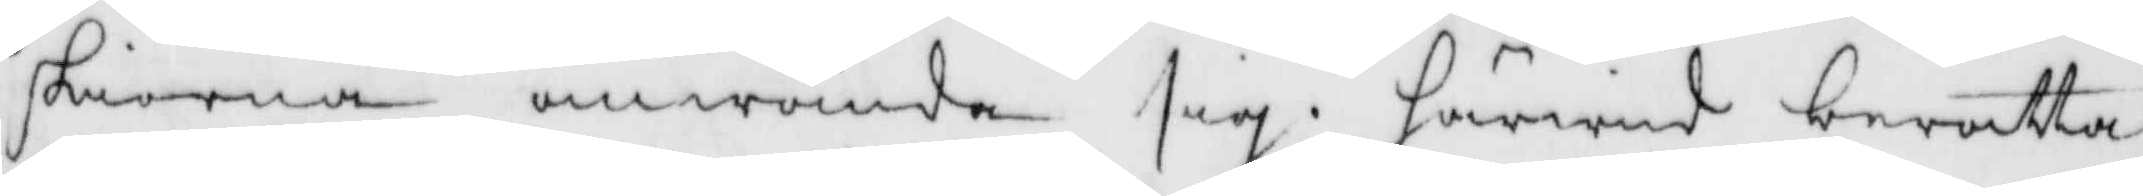skiorna omwända sig, Härwid berätta¬
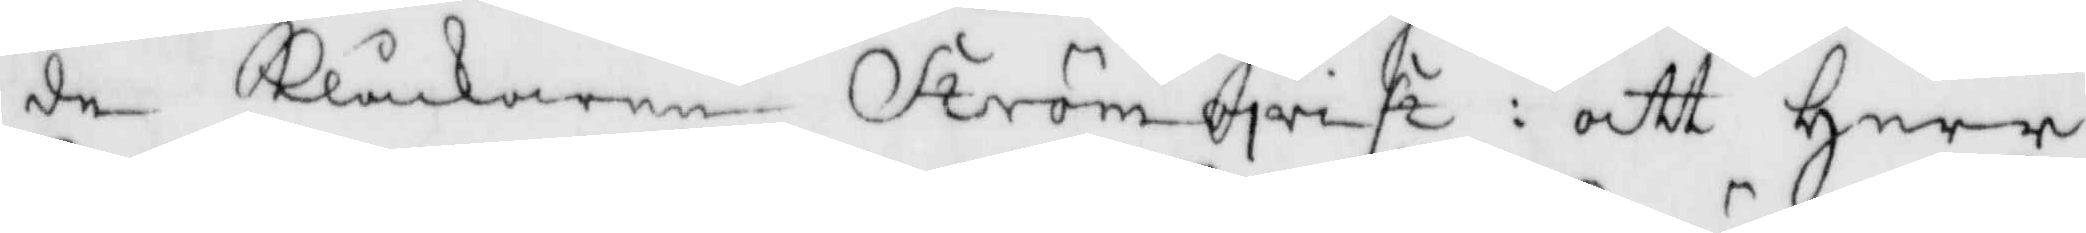de Klåckaren Strömqvist: att Herr
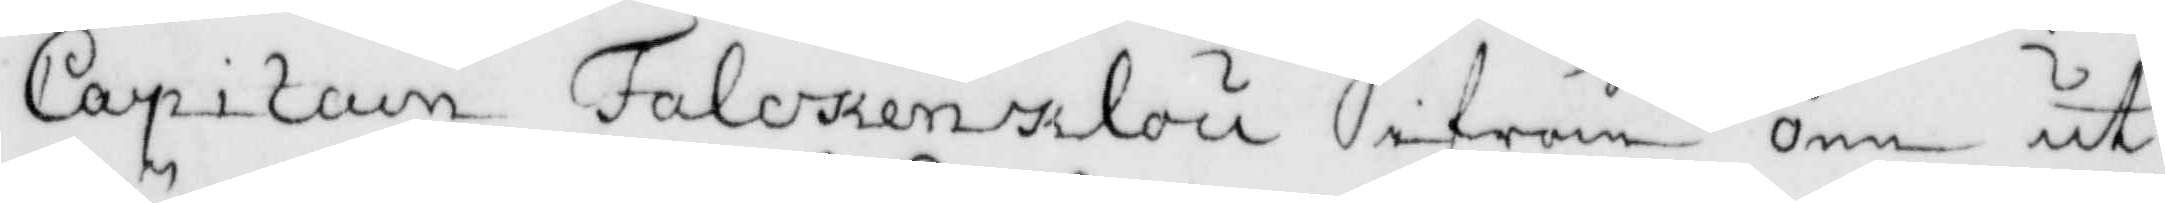Capitain Falckenklou ifrån önn ut¬
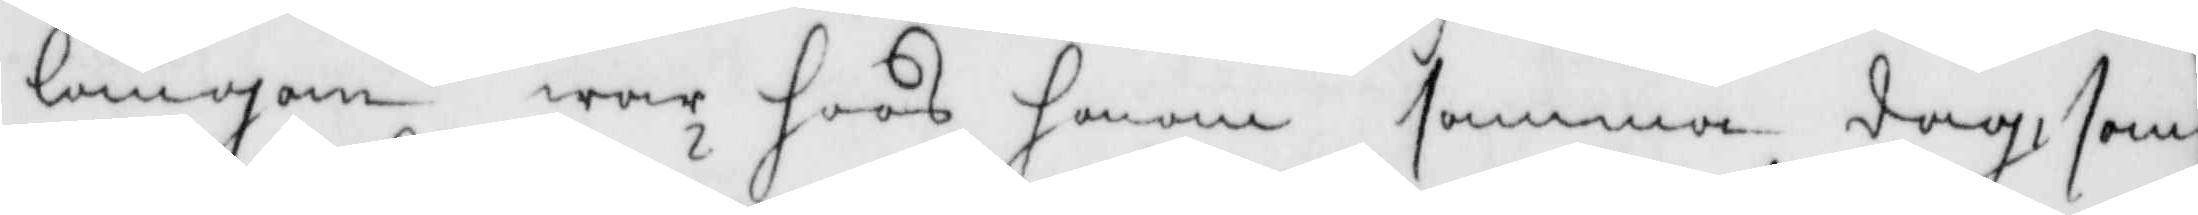längan war hoos honom samma dagh, som
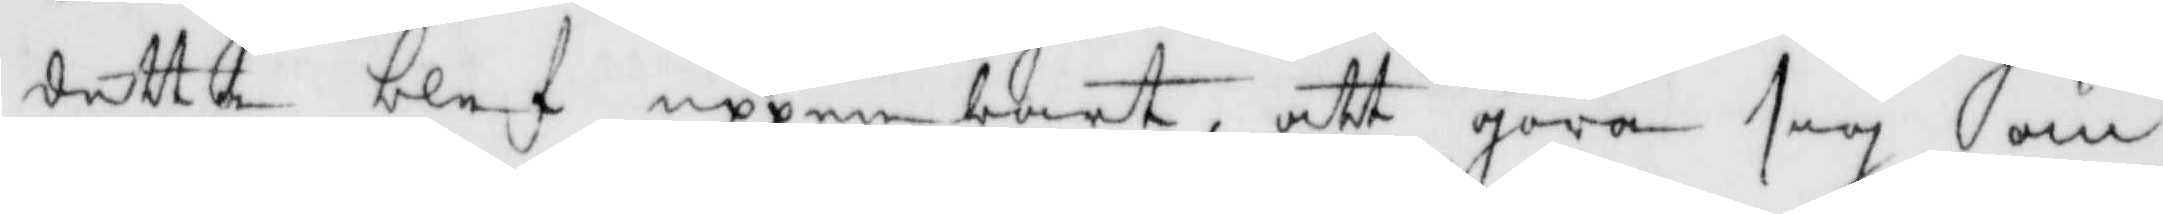detta blef uppenbart, att göra sig om
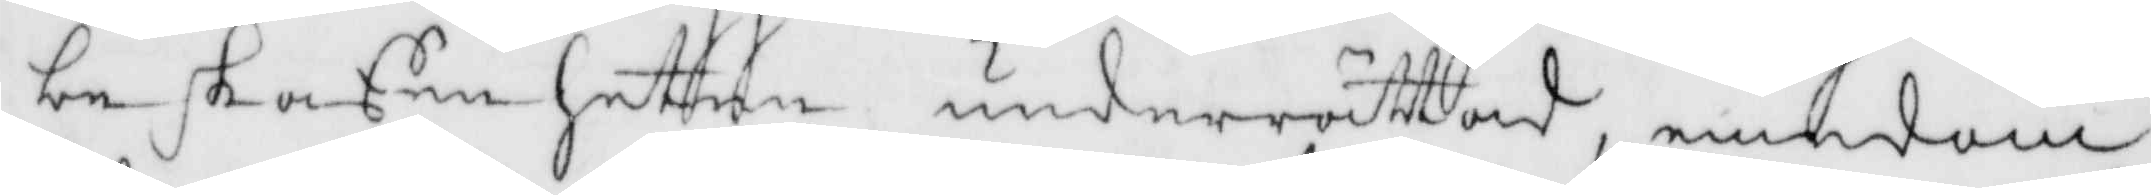beskaffen hetten underrättad, emedan
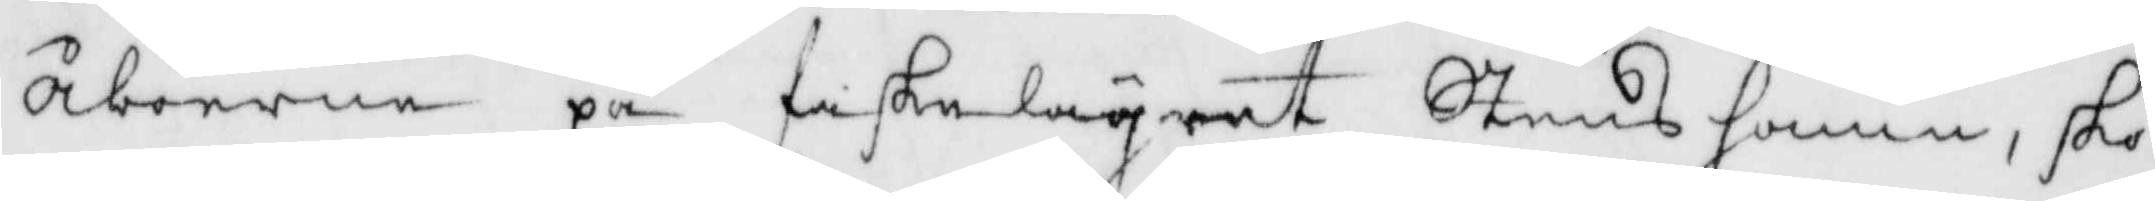Åborne på fiskelägrat Stens hamn, sko¬
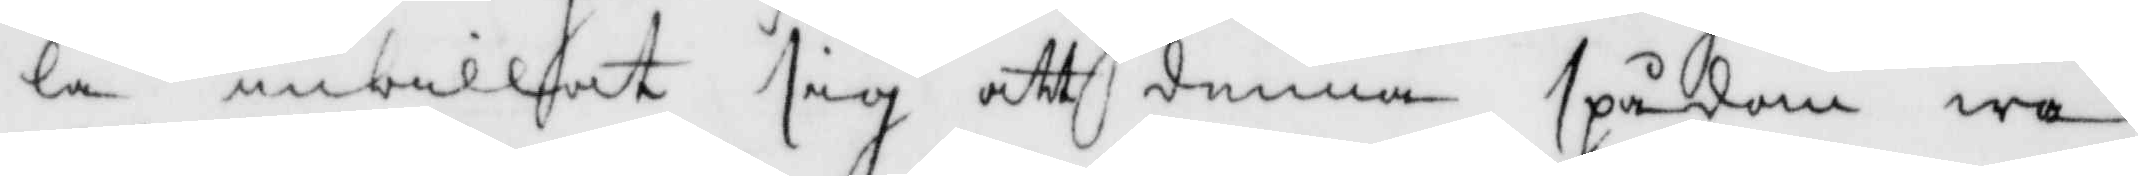la inbillat sig att denna spådom wa¬
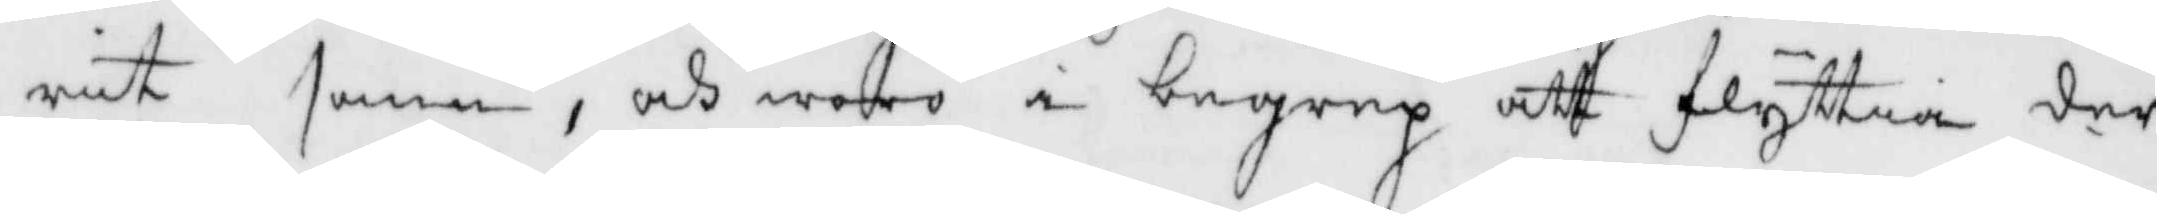rit sann, och woro i begrep att flyttia der
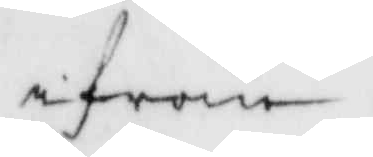ifrån.
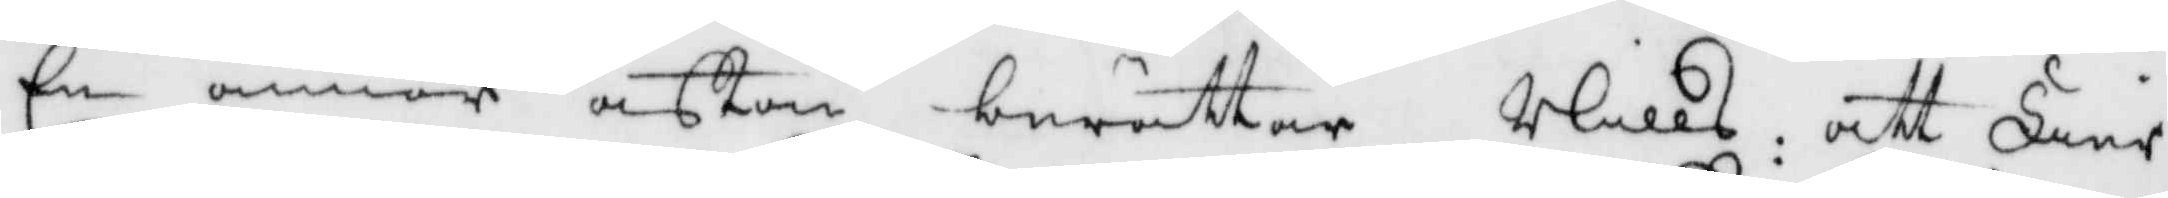En annor afton berättar Nills: att Fier¬
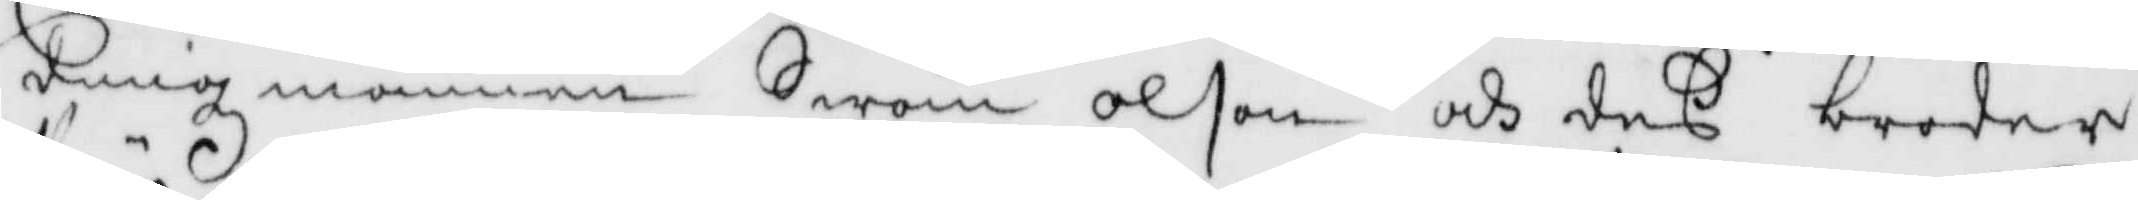dingzmannen Swän Olson och des broder,
